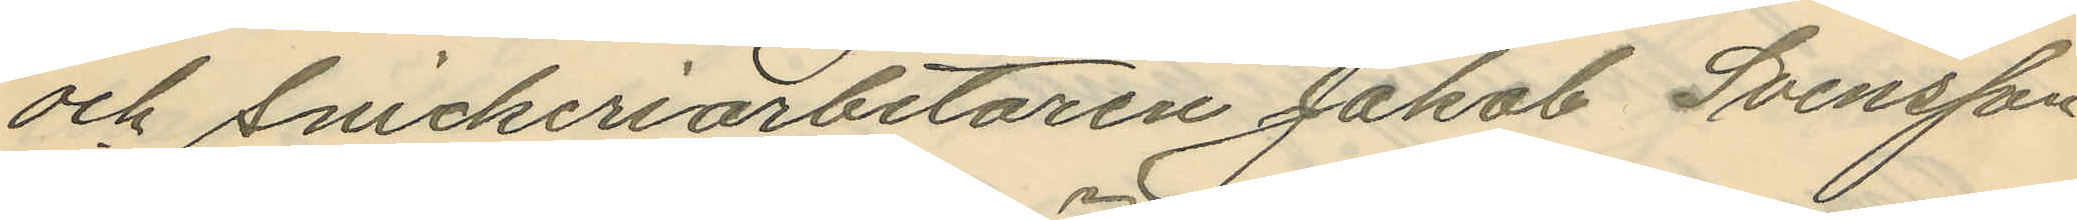och Snickeriarbetaren Jakob Svensson
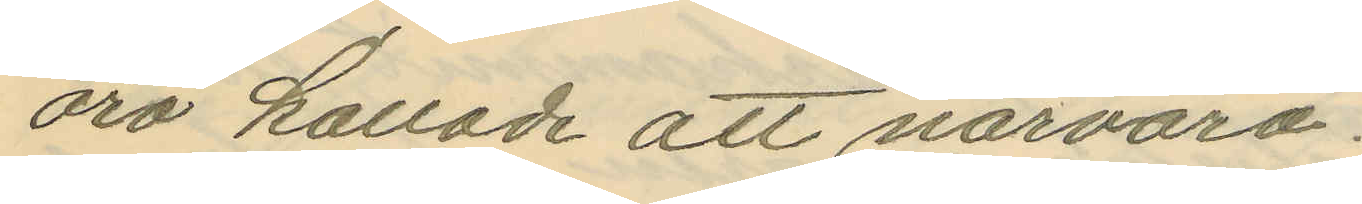äro kallade att närvara.
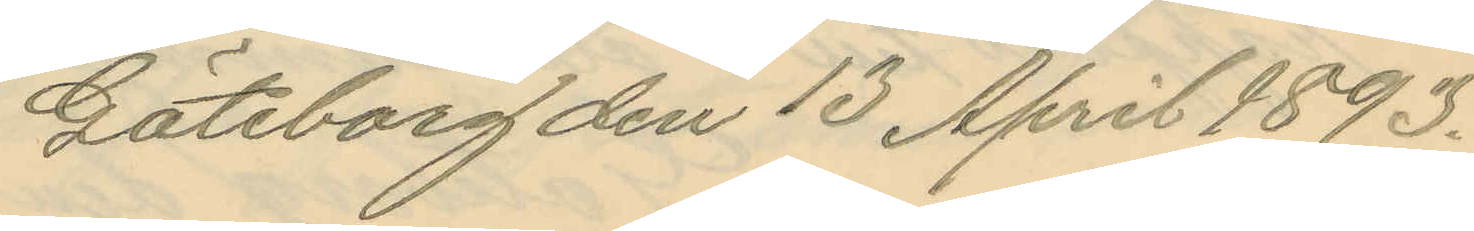Göteborg den 13 April 1893.
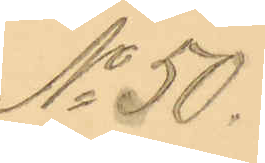No 50.
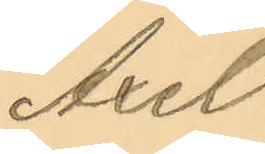Axel
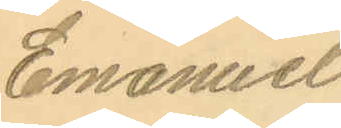Emanuel
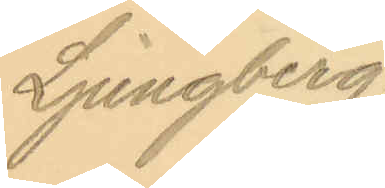Ljungberg
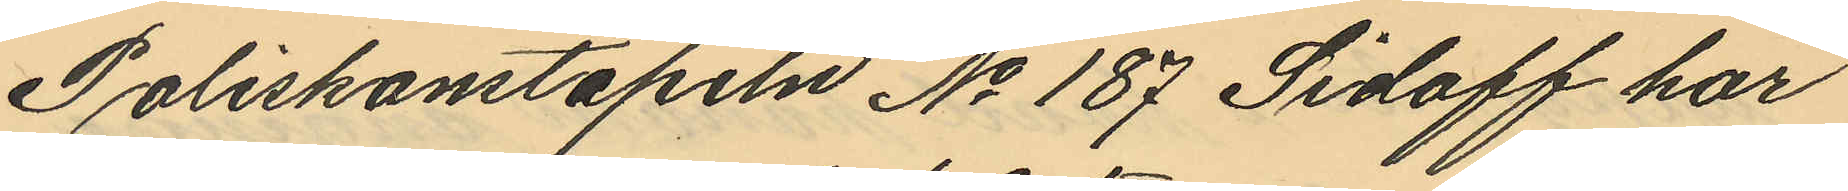Poliskonstapeln No 187 Sidoff har
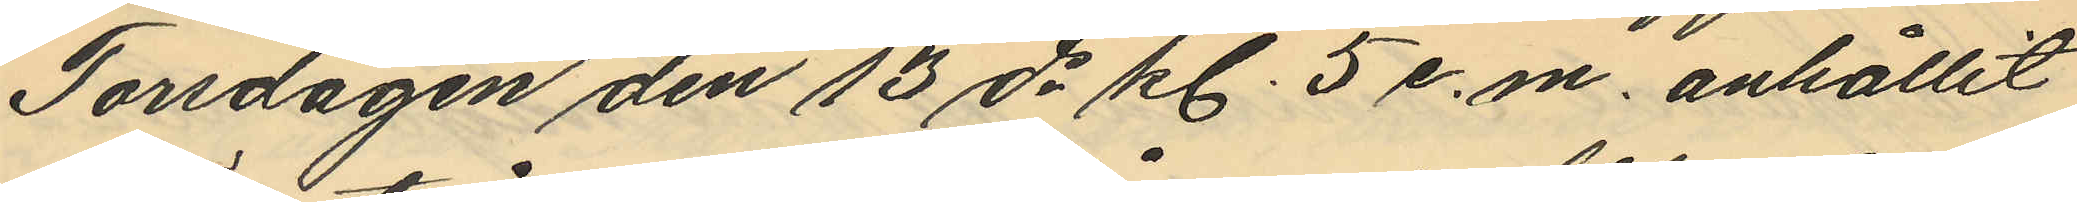Torsdagen den 13 ds kl. 5 e. m. anhållit
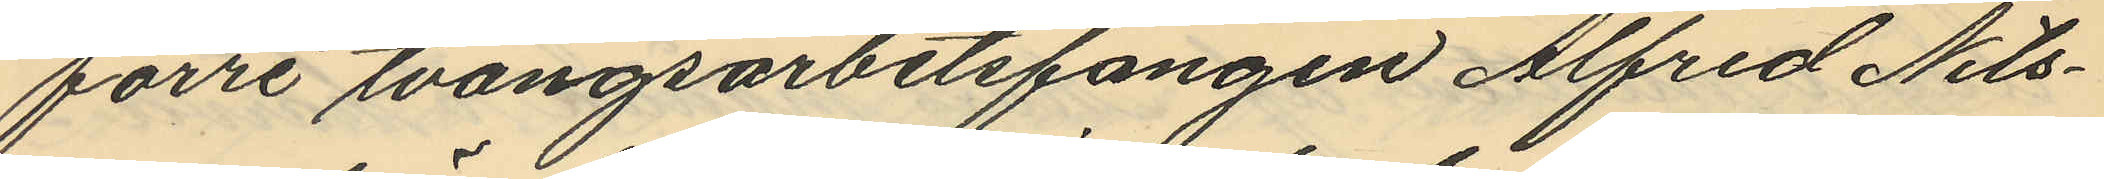förre tvångsarbetsfången Alfred Nils¬
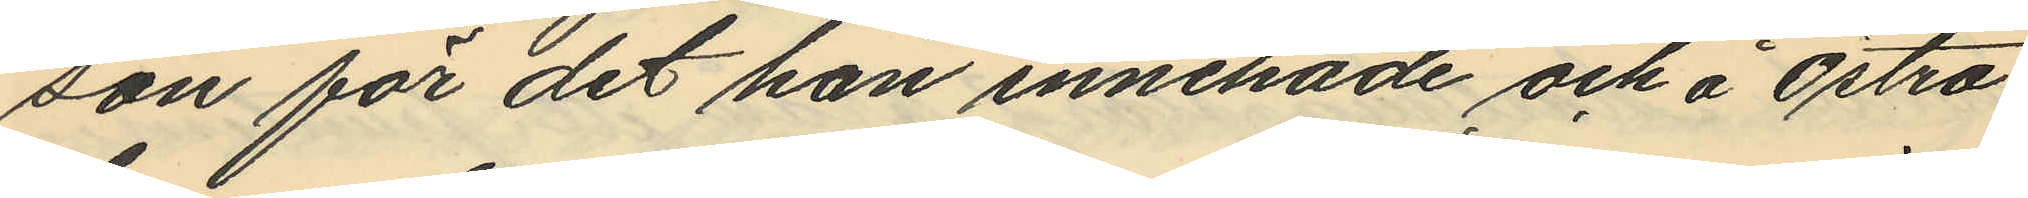son för det han innehade och å Östra
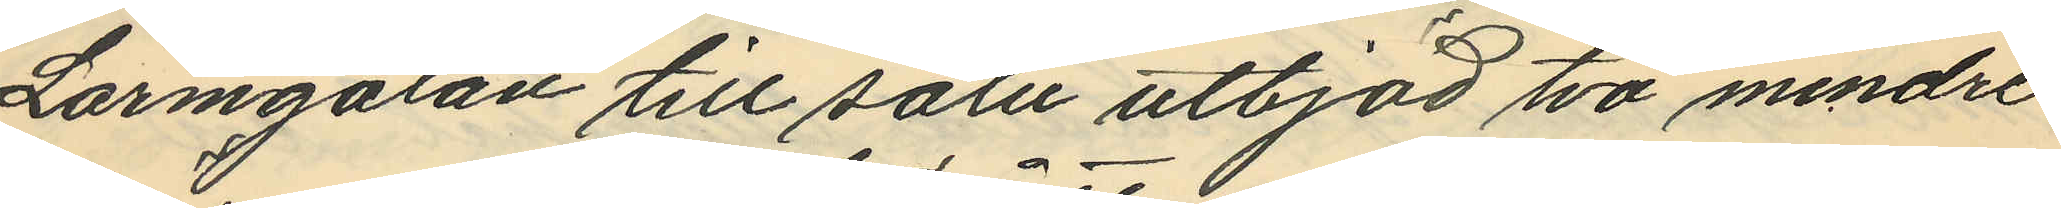Larmgatan till salu utbjöd två mindre
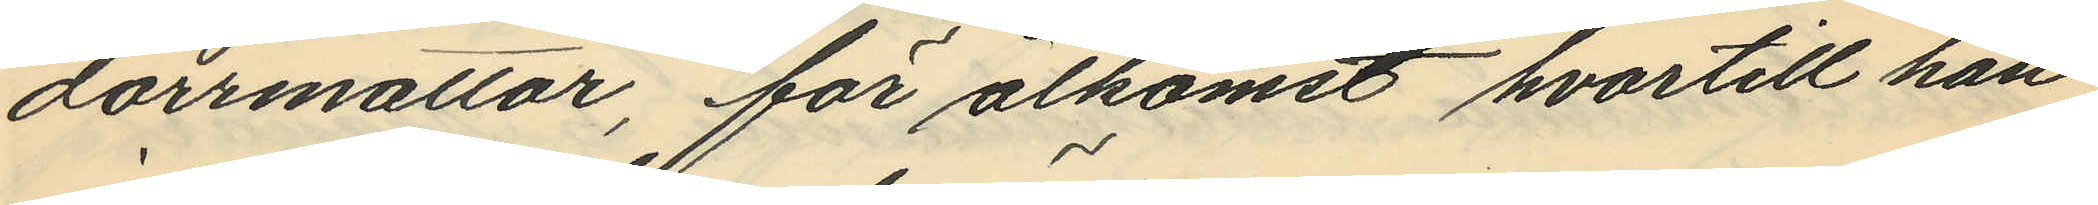dörrmattor, för åtkomst hvartill han
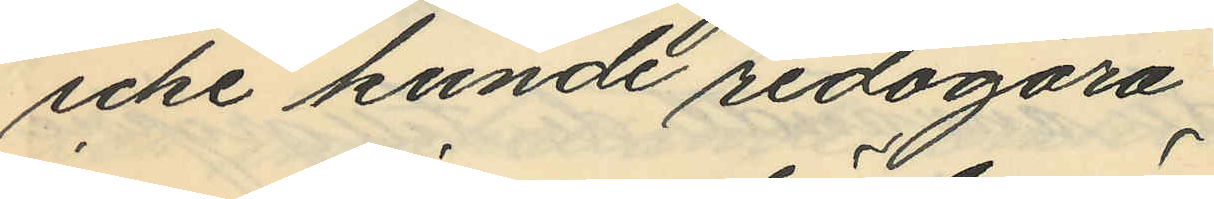icke kunde redogöra.
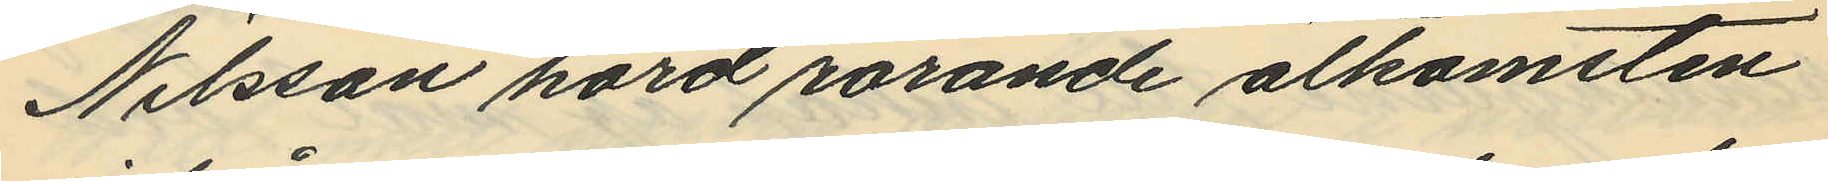Nilsson hörd rörande åtkomsten
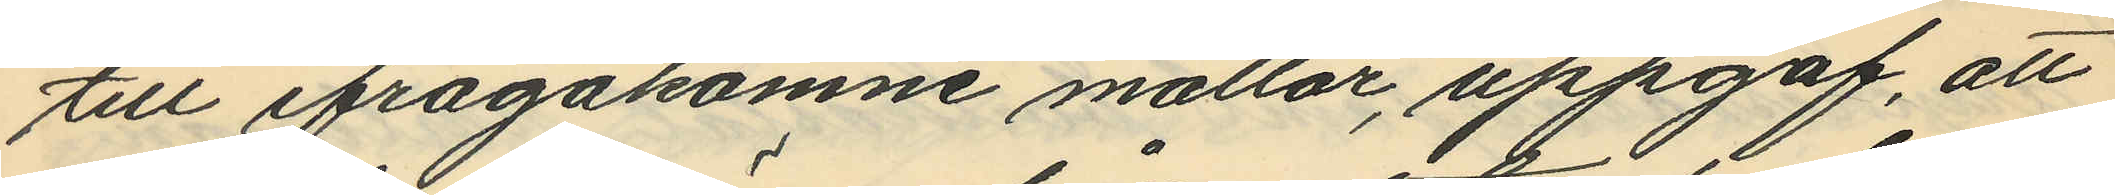till ifrågakomne mattor, uppgaf, att
